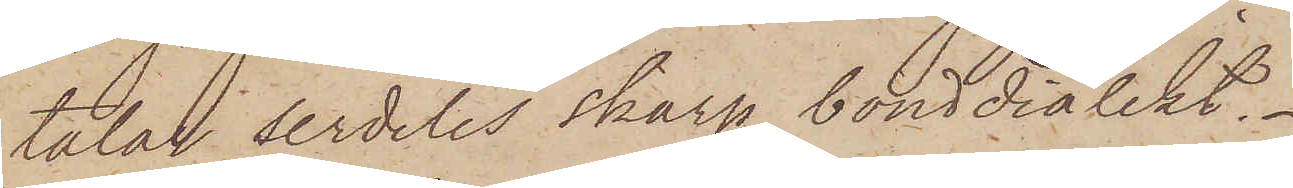talar serdeles skarp bonddialekt.
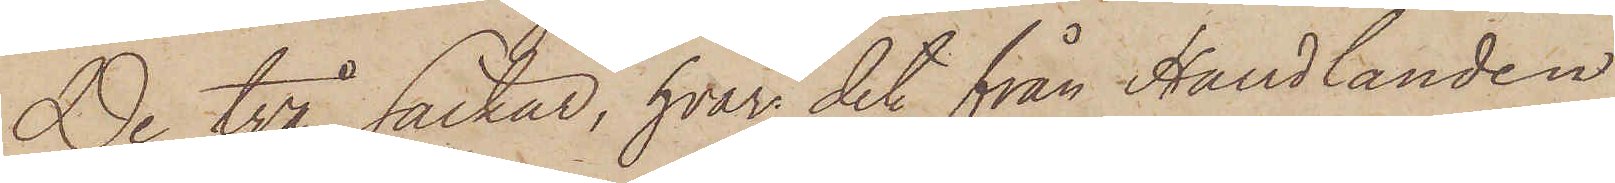De två säckar, hvari det från Handlanden
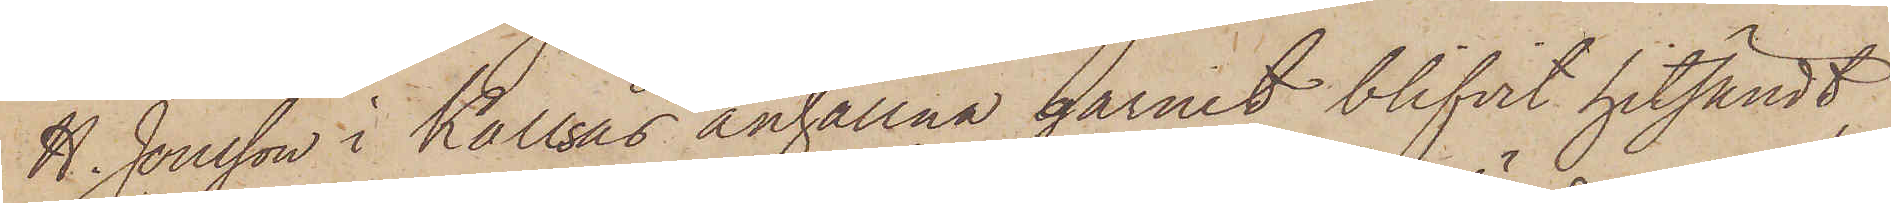H. Jonsson i Kallsås anhållna garnet blifvit hitsändt,
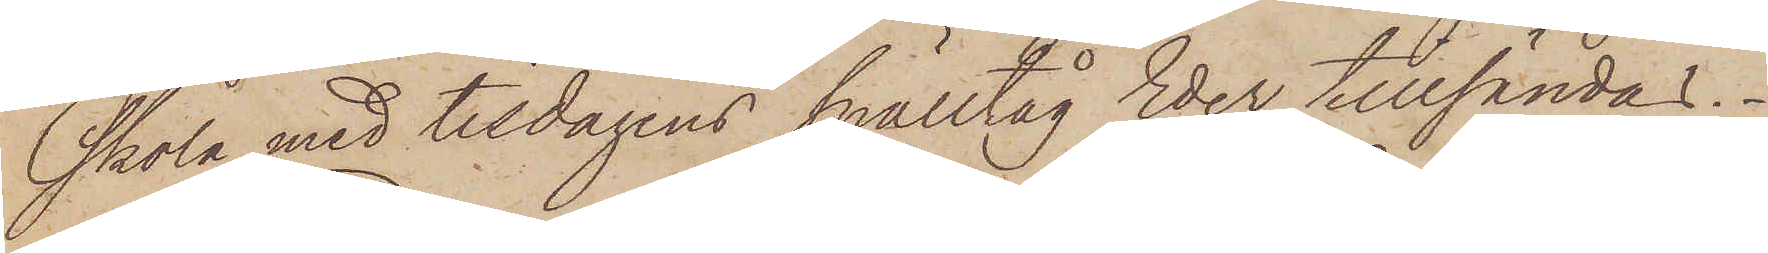skola med tisdagens snälltag Eder tillsändas.
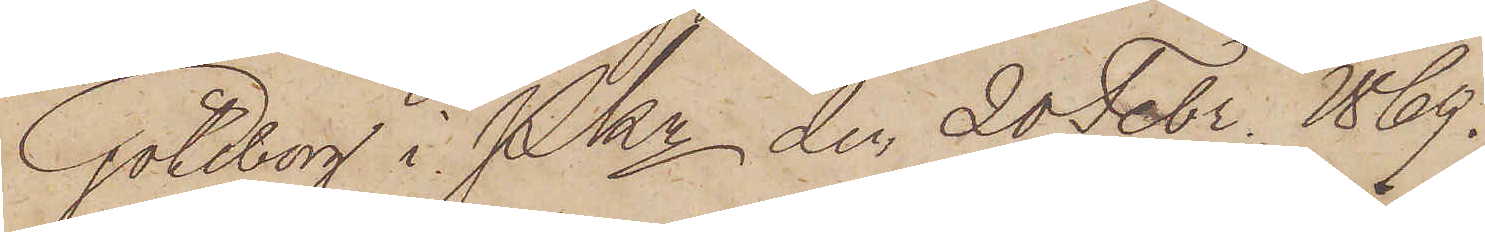Göteborg i PKn den 20 Febr. 1869.
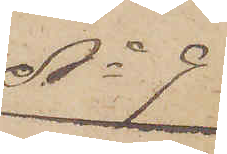No 9.
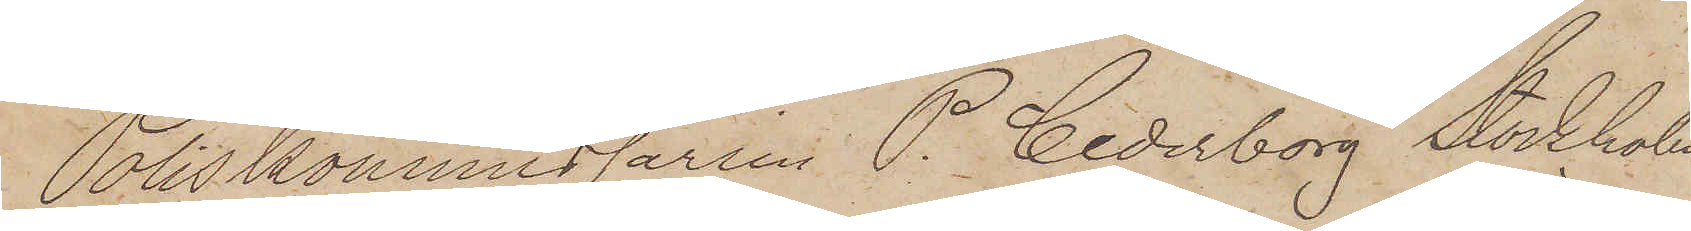Poliskommissarien P. Cederborg Stockholm.
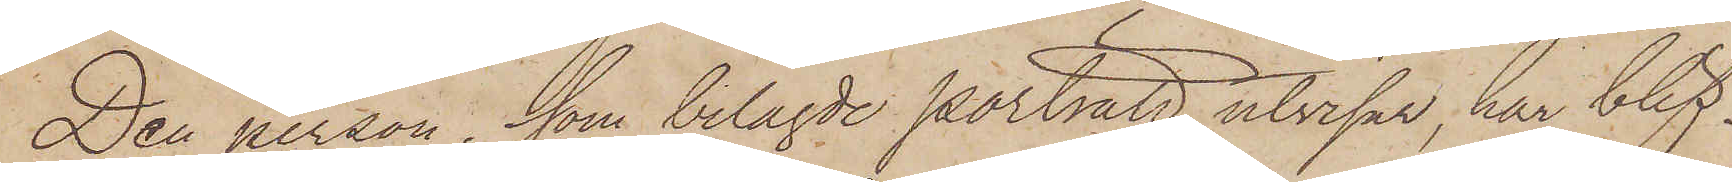Den person, som belagde porträtt utvisar, har blif¬
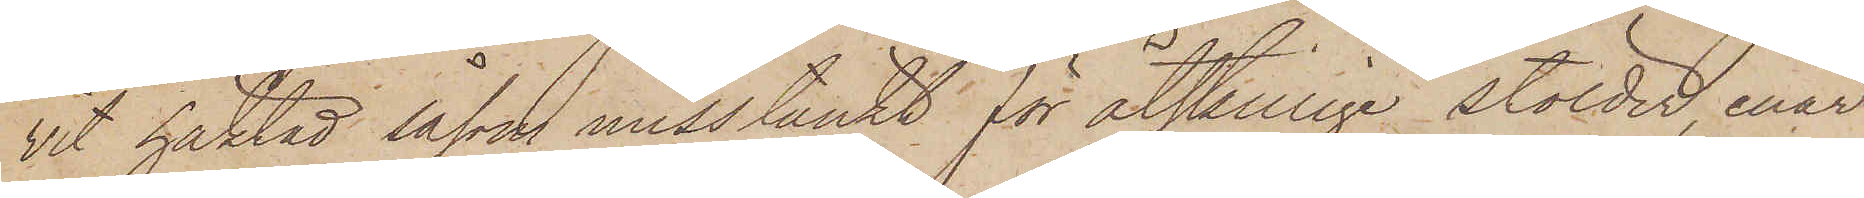vit häktad såsom misstänkt för åtskillige stölder, enär
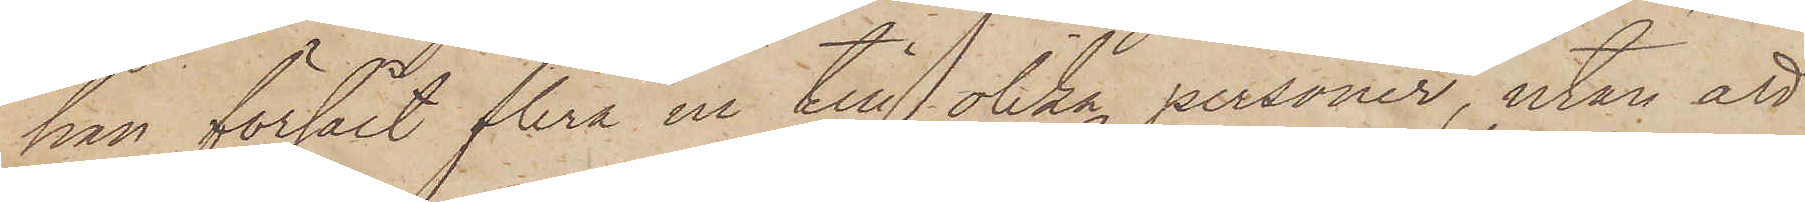han försålt flera ur till olika personer, utan att
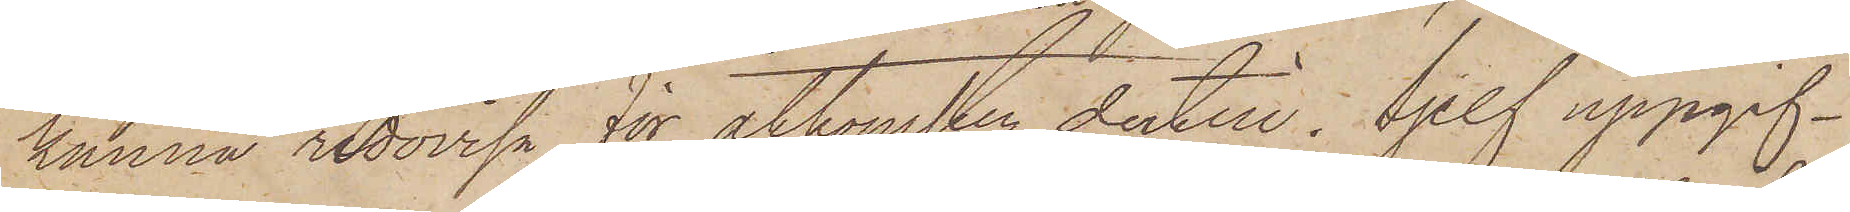kunna redovisa för åtkomsten dertill. Sjelf uppgif¬
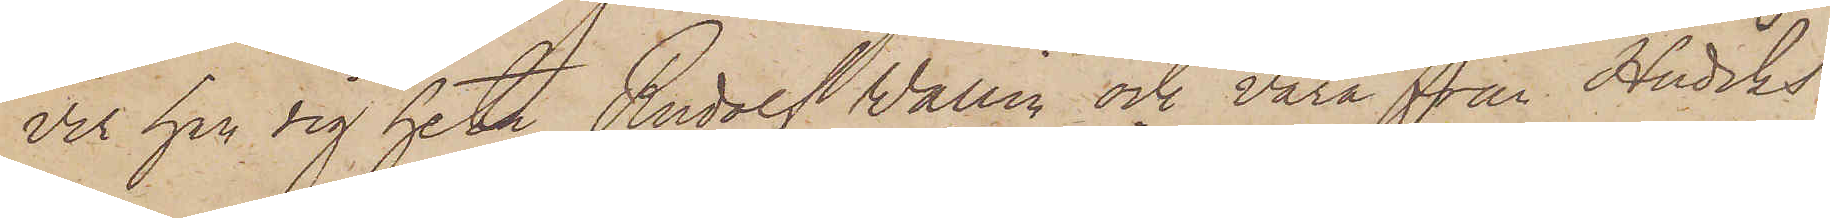ver han sig heta Rudolf Wallin och vara från Hudiks¬
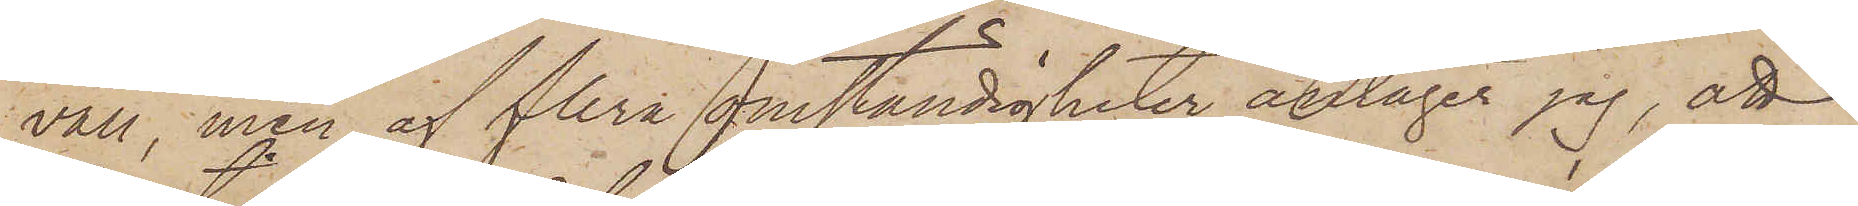vall, men af flera omständigheter antager jag, att
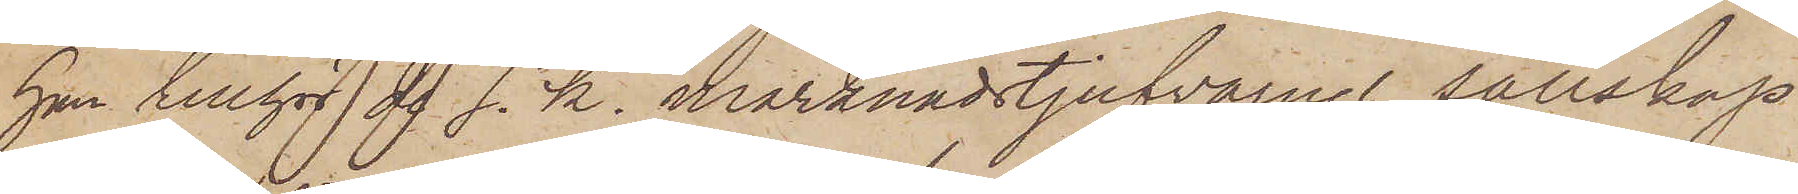han tillhör de s. k. marknadstjufvarnes sällskap
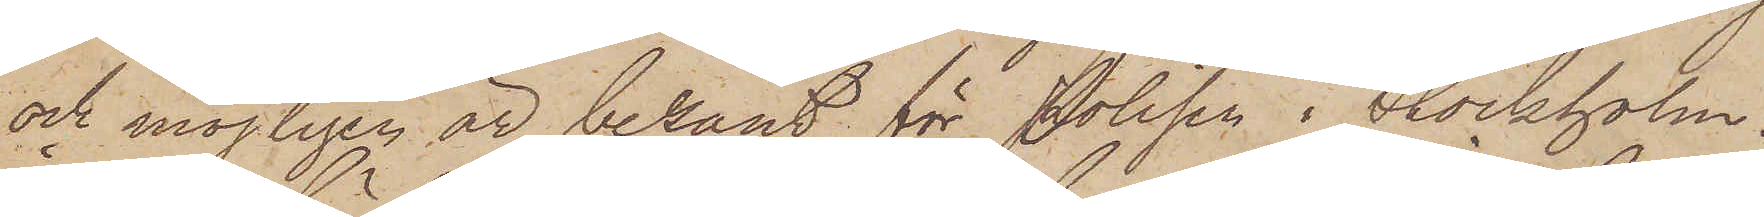och möjligen är bekant för Polisen i Slockholm.
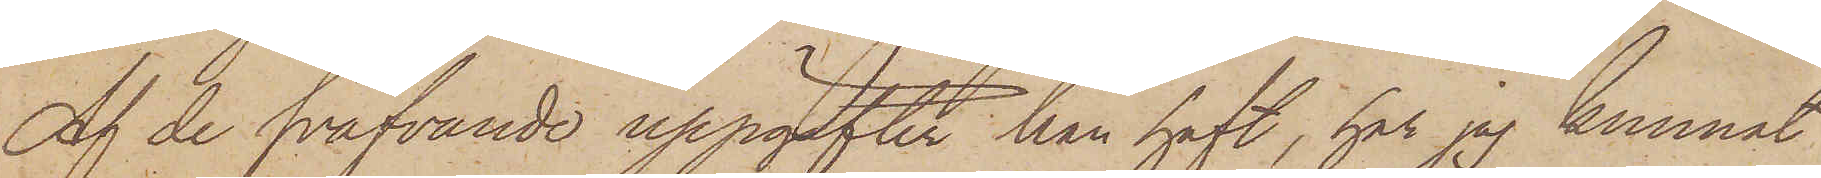Af de sväfvande uppgifter han haft, har jag kunnat
